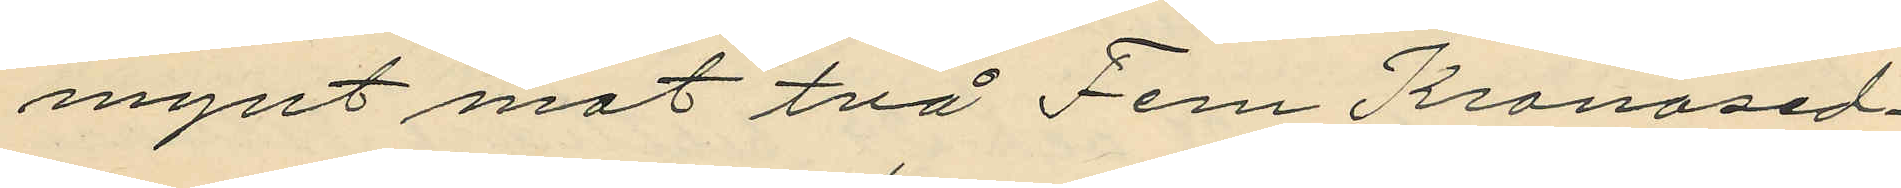mynt mot två Fem Kronosed¬
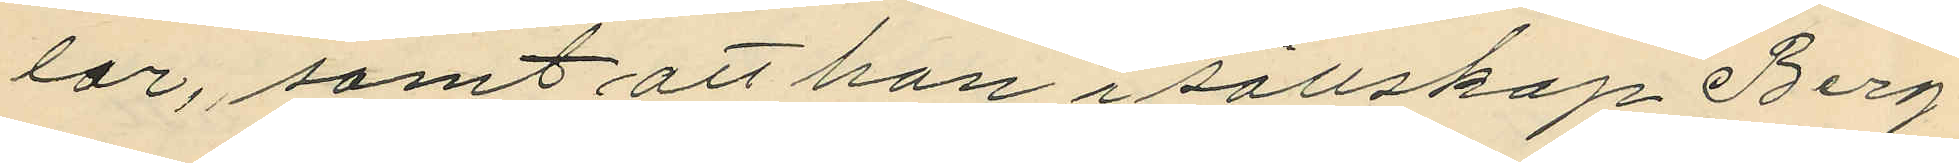lar, samt att han i sällskap Berg¬
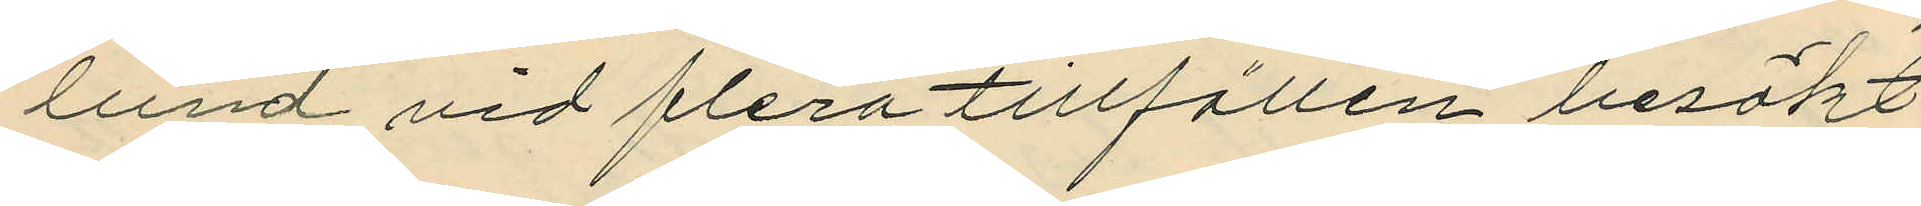lund vid flera tillfällen besökt
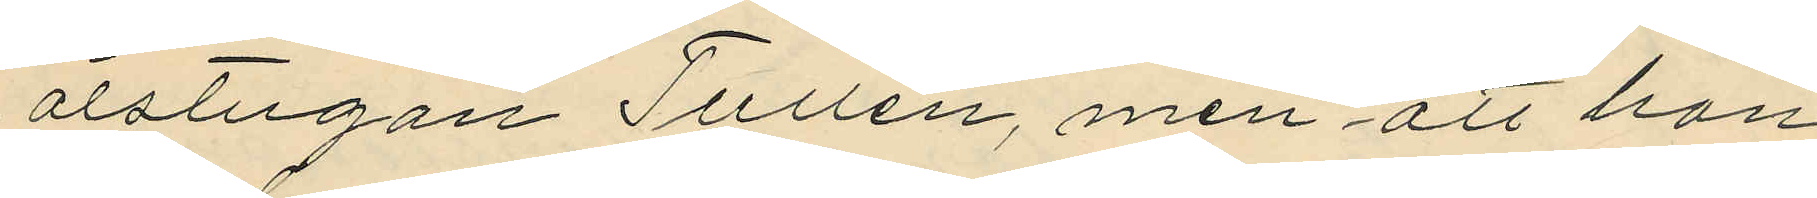ölstugan Tullen, men att han
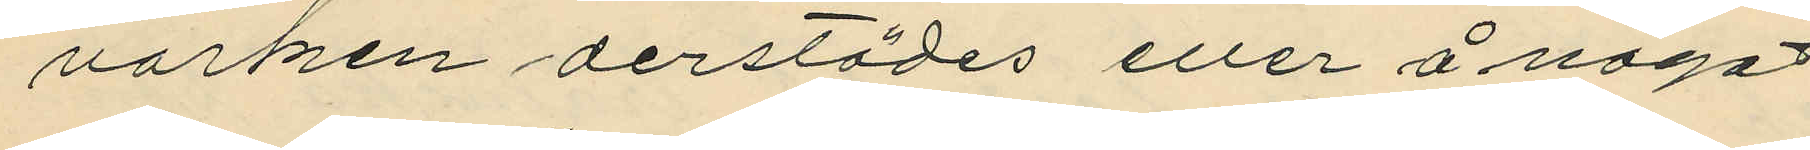varken derstädes eller å något
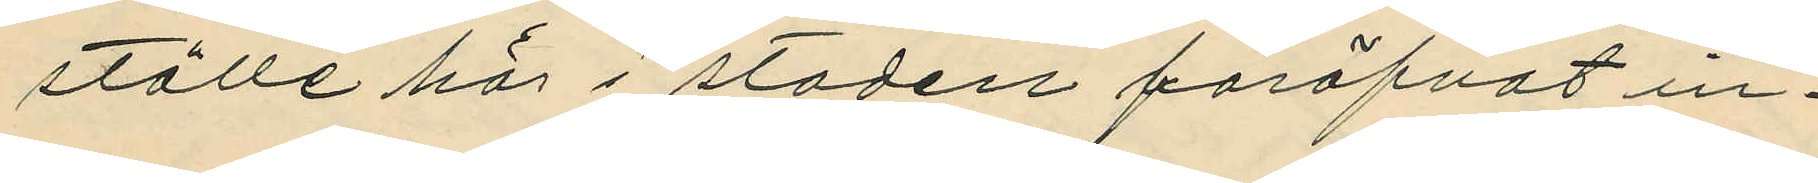ställe här i staden föröfvat in¬
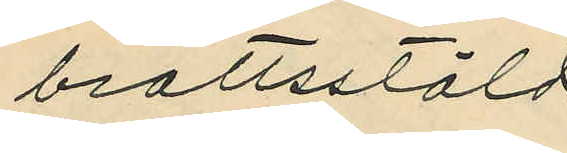brottsstöld
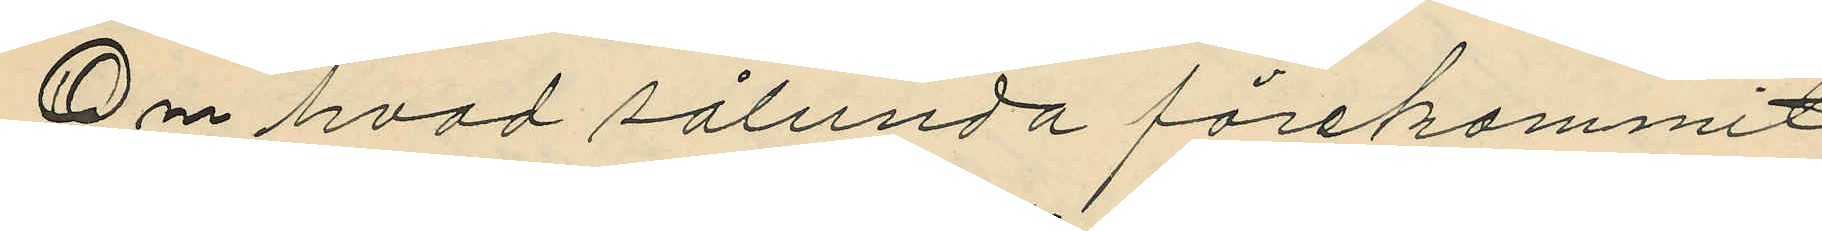Om hvad sålunda förekommit
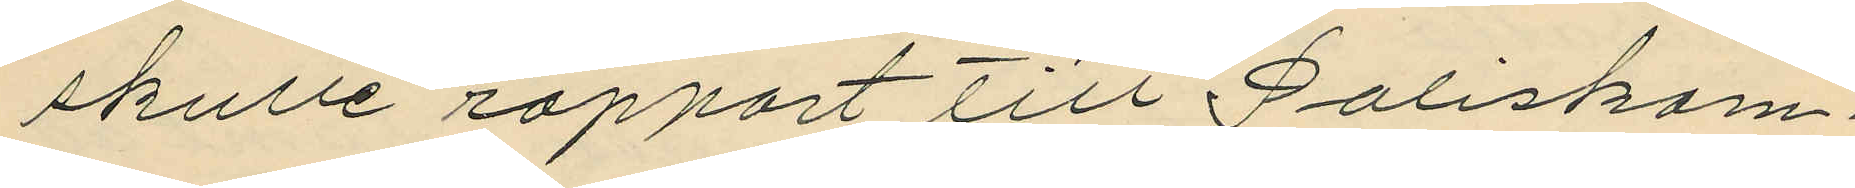skulle rapport till Poliskam¬
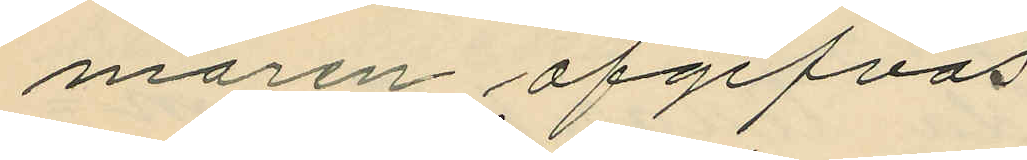maren afgifvas.
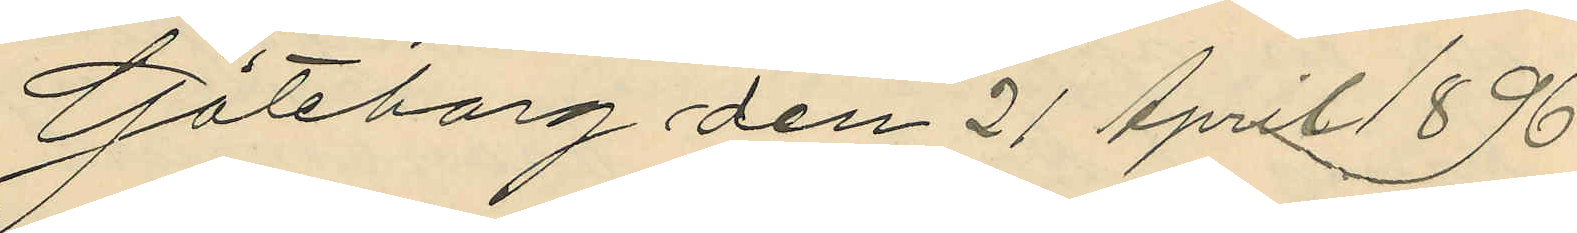Göteborg den 21 April 1896.
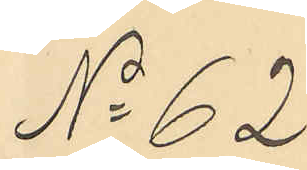No 62
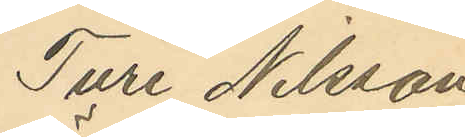Ture Nilsson
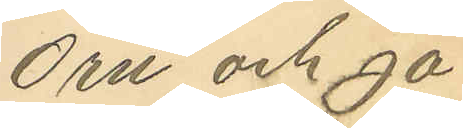Örn och Ja¬
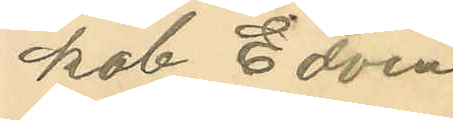kob Edvin
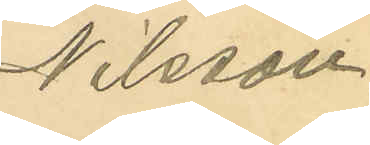Nilsson.
